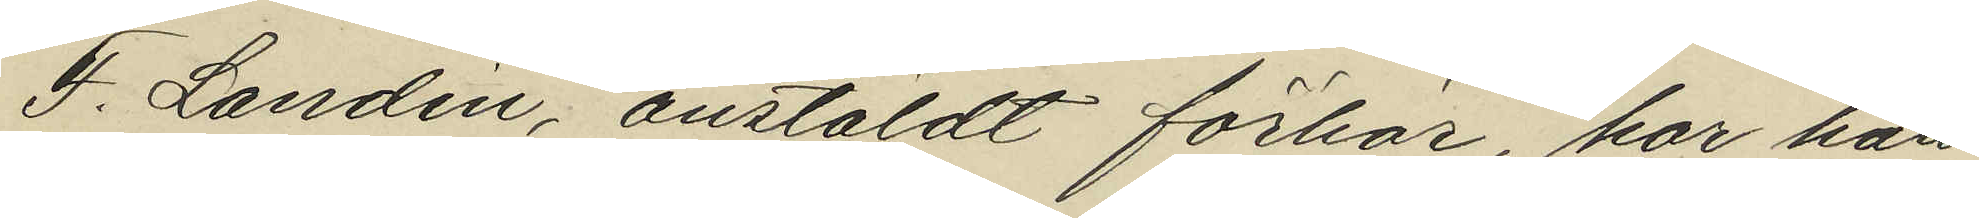J. Landin, anstäldt förhör, har han
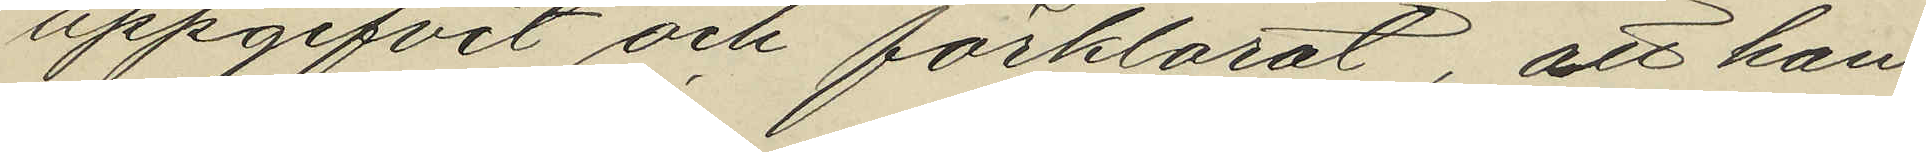uppgifvit och förklarat, att han
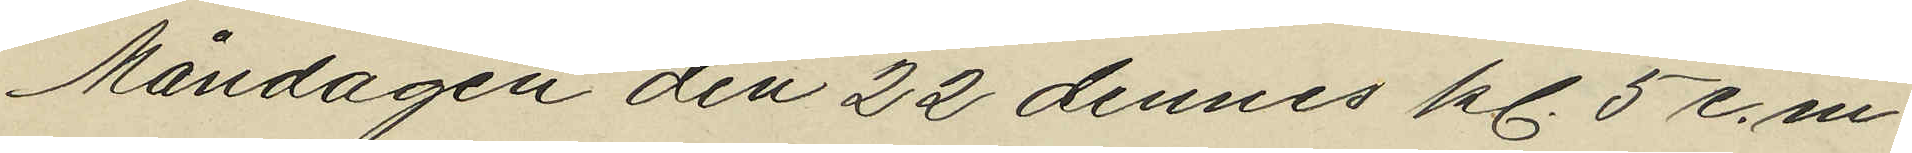Måndagen den 22 dennes kl. 5 e.m.
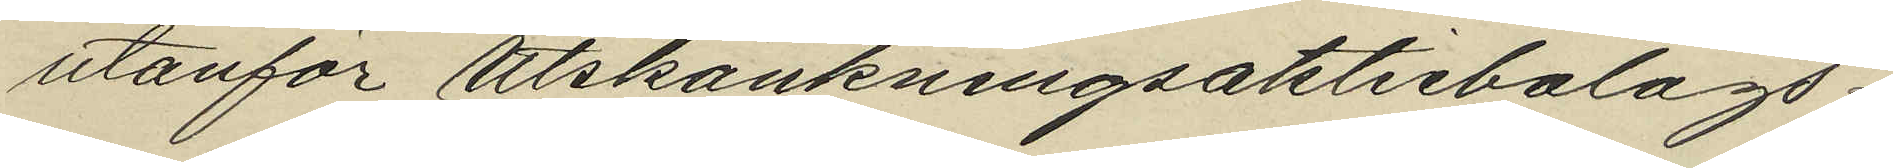utanför utskänkningsaktiebolags¬
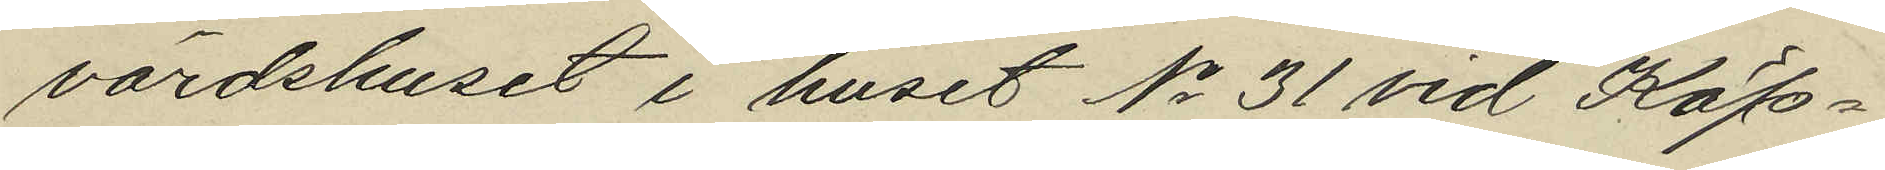värdshuset i huset No 31 vid Köp¬
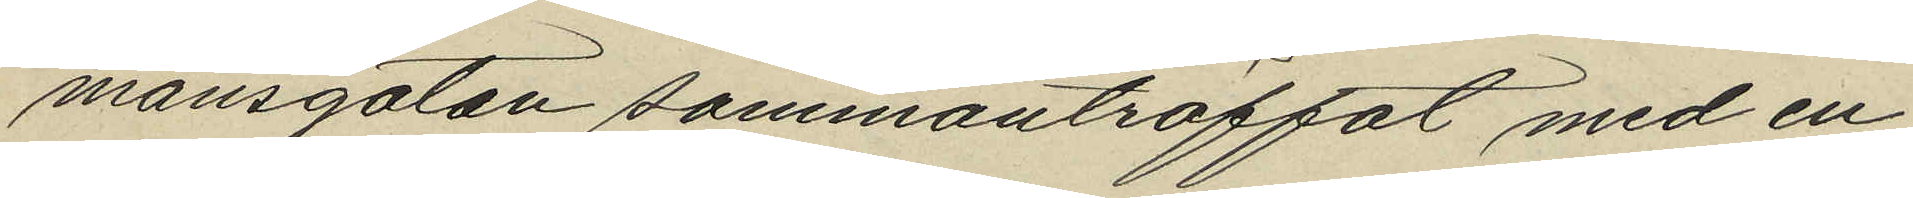mansgatan sammanträffat med en
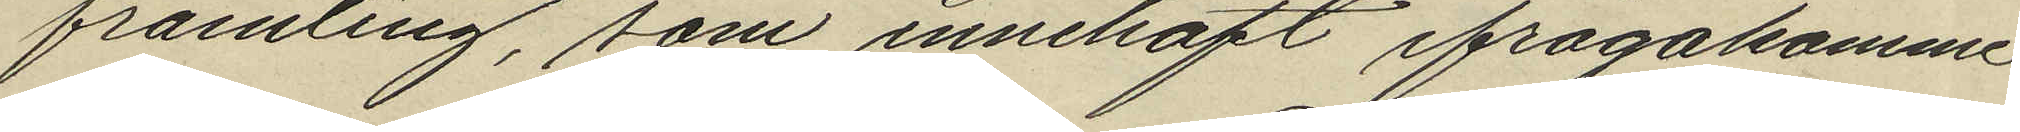främling, som innehaft ifrågakomme
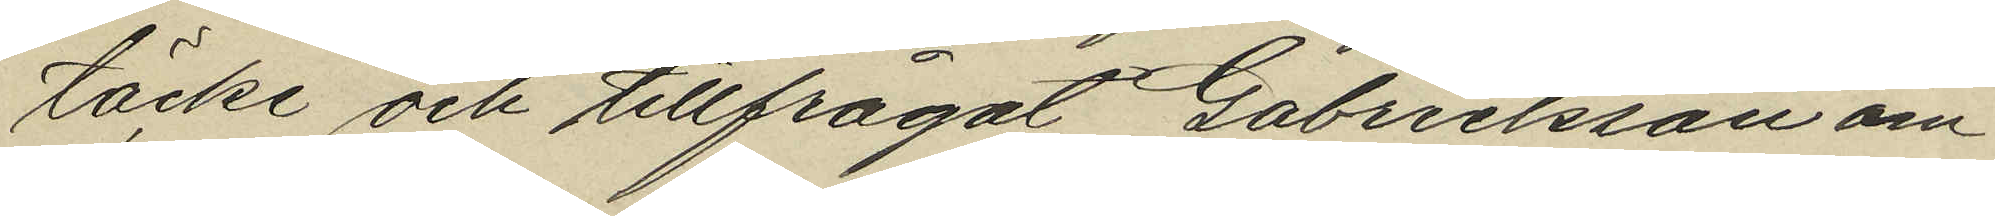täcke och tillfrågat Gabrielsson om
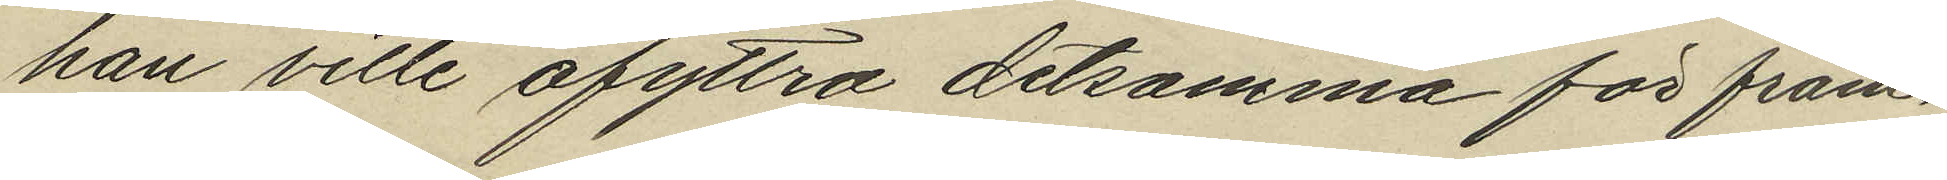han ville afyttra detsamma för fram¬
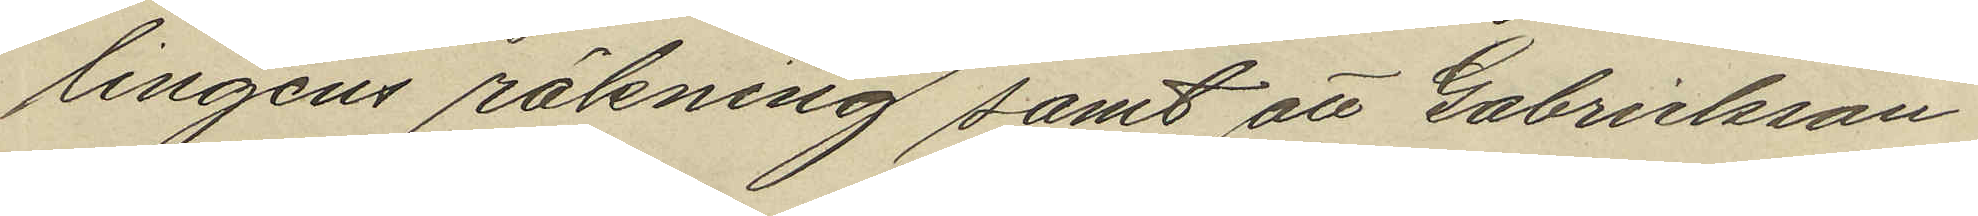lingens räkning samt att Gabrielsson
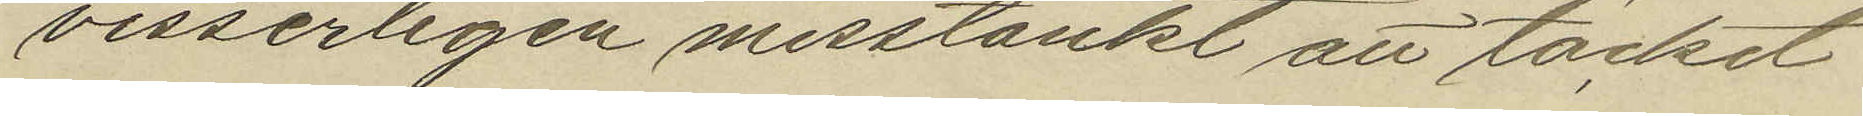visserligen misstänkt att täcket
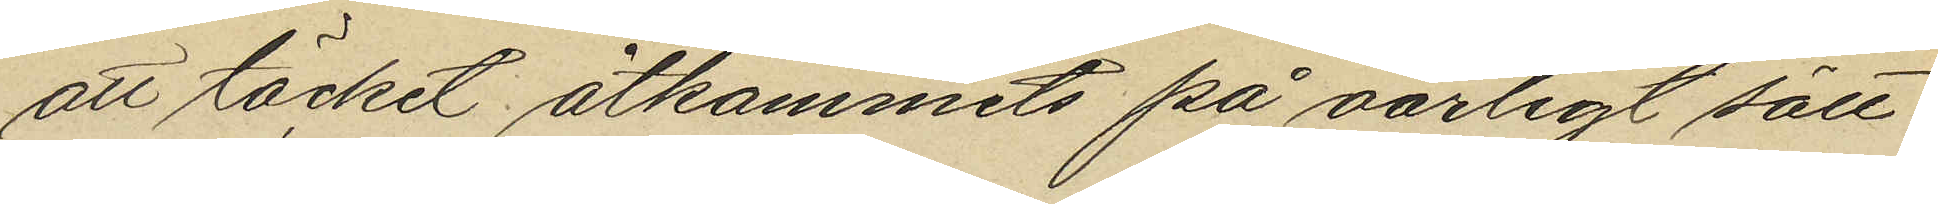att täcket åtkommits på oärligt sätt
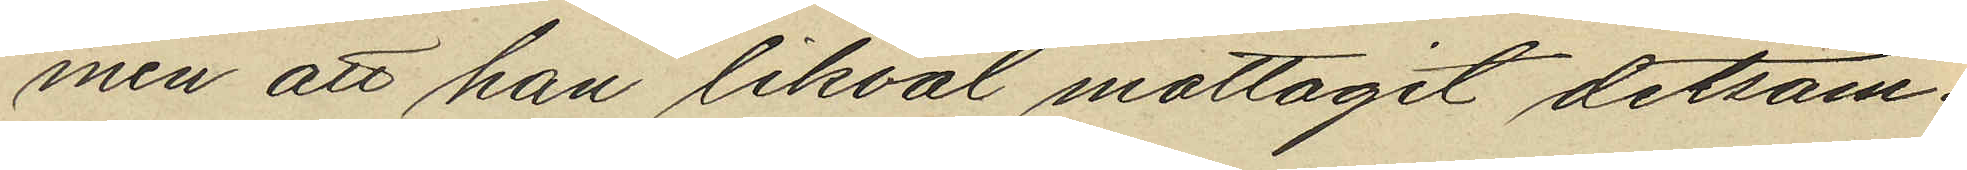men att han likväl mottagit detsam¬
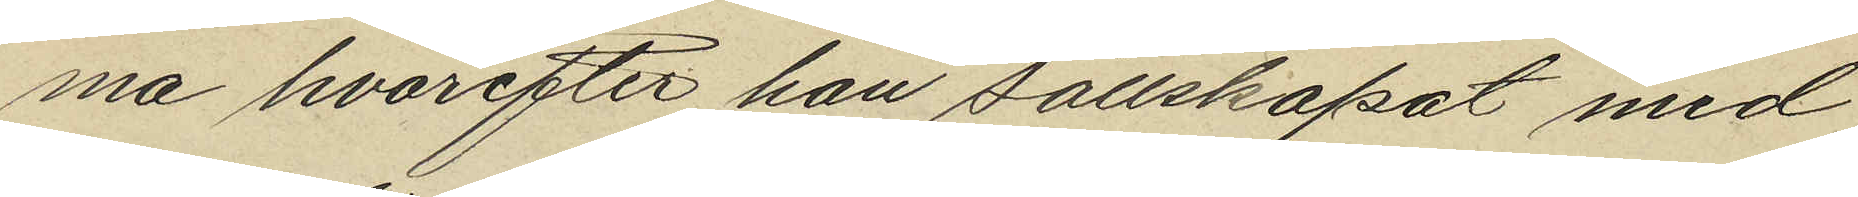ma hvarefter han sällskapat med
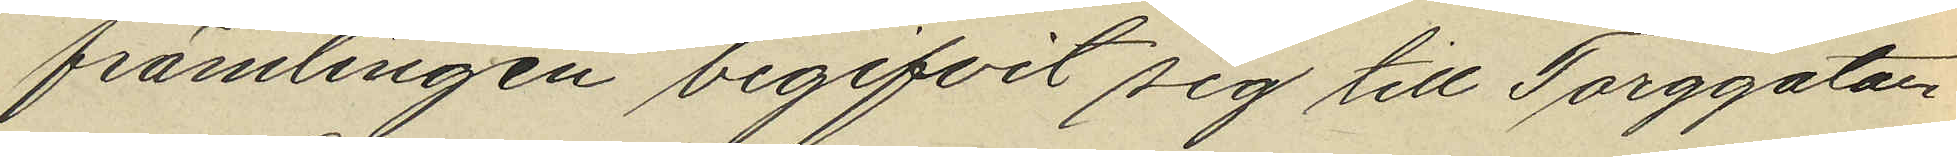främlingen begifvit sig till Torggatan
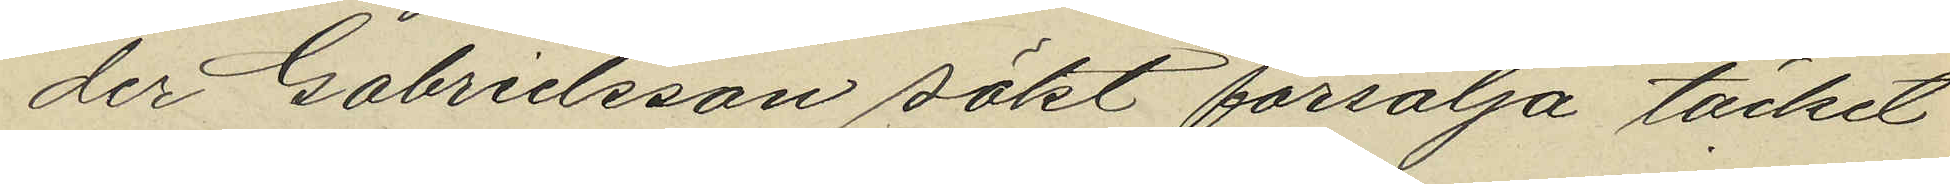der Gabrielsson sökt försälja täcket
